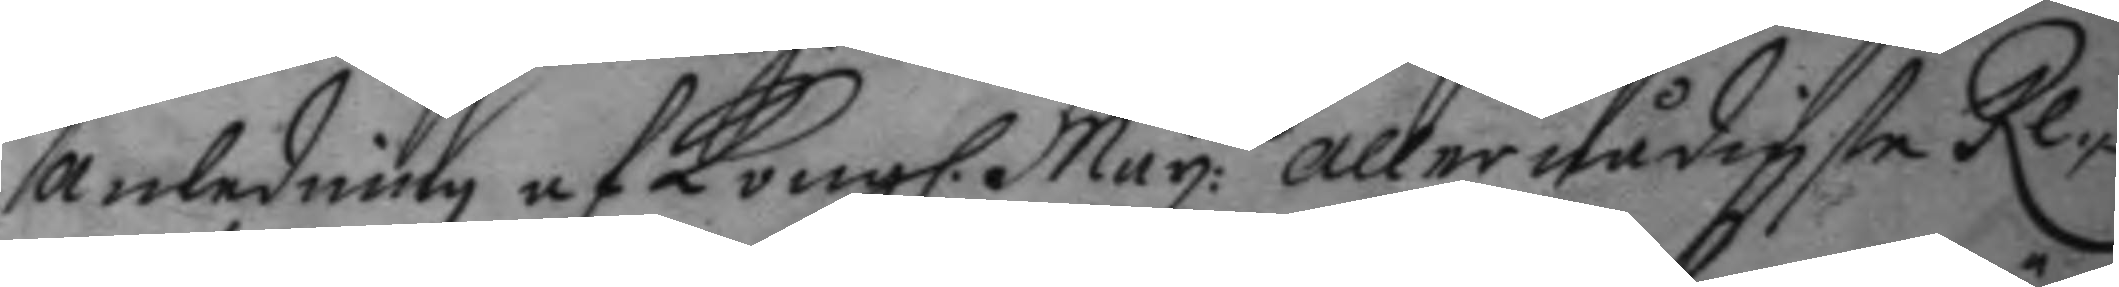anledning af Kongl. May:ttz allernådigste Re¬
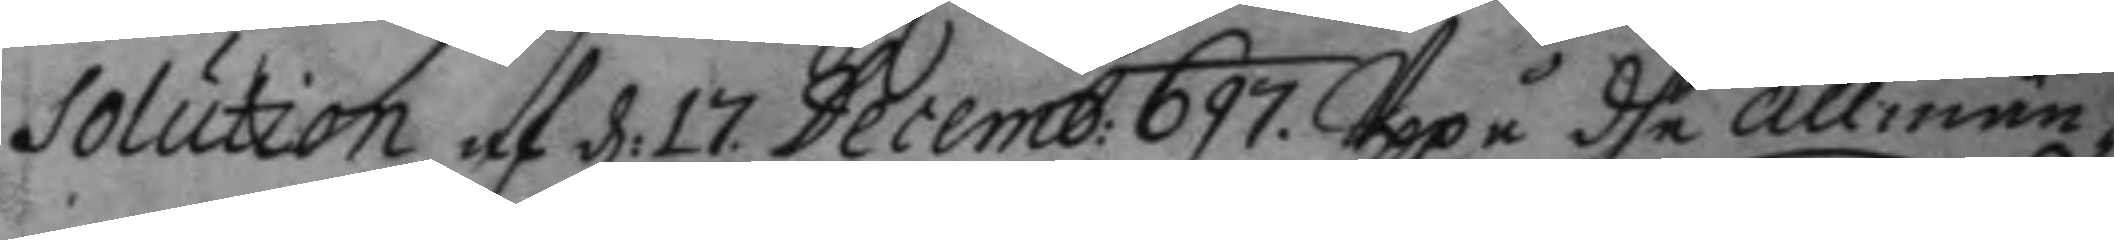solution af d: 17. Decemb: 697. Uppå dhe allmän¬
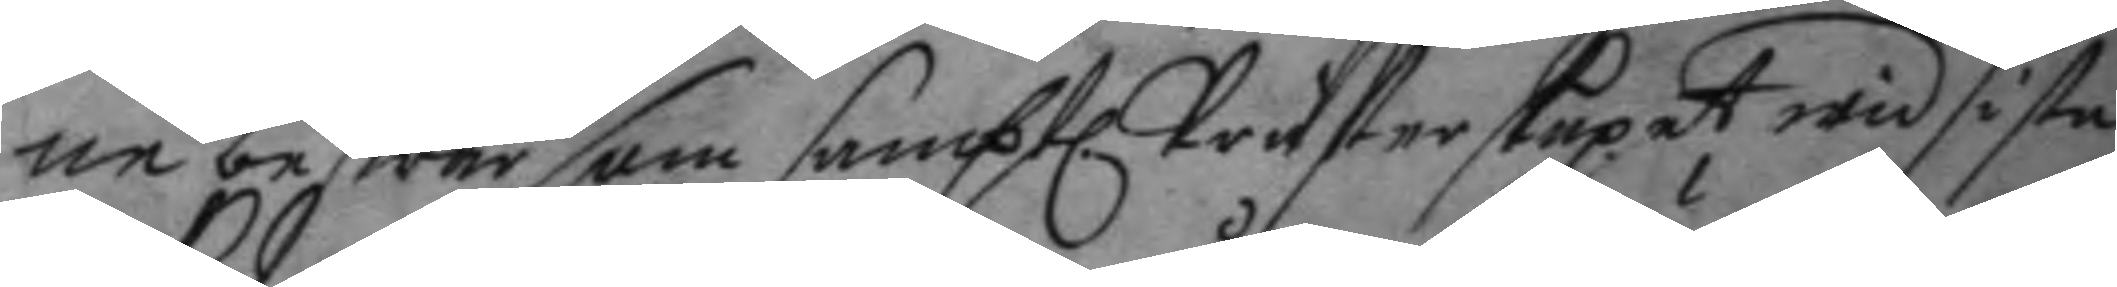ne beswär som samptl. Präster skapat wid sista
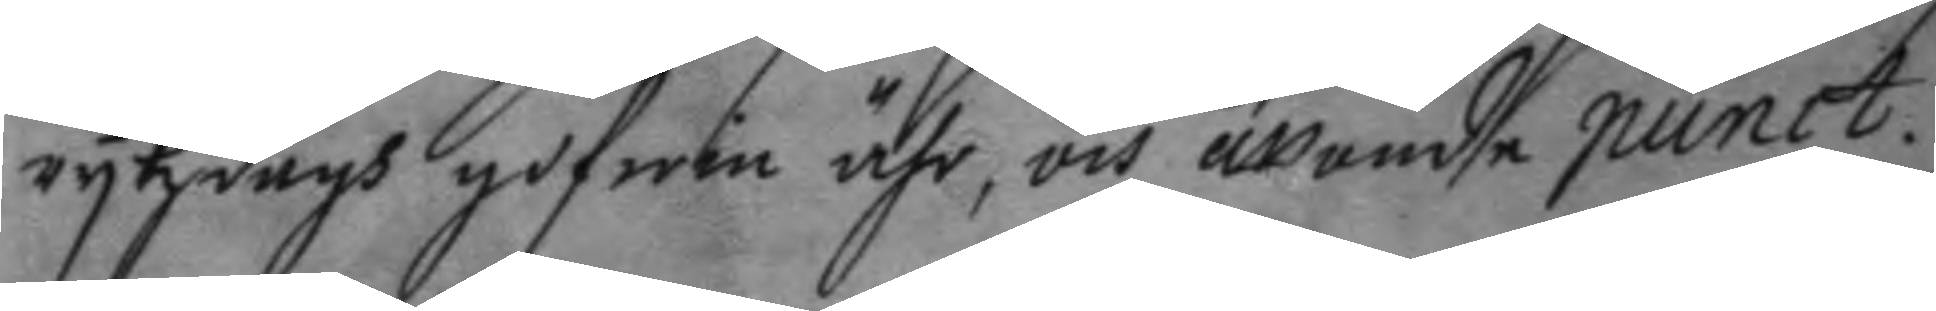rykzdagh gifwin ähr, och åttonde punct.
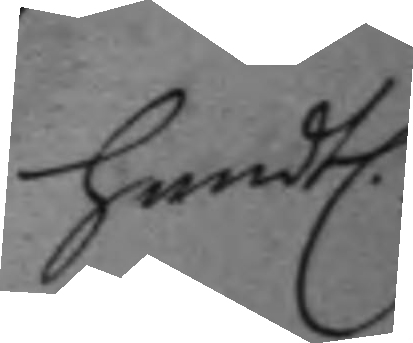handtl.
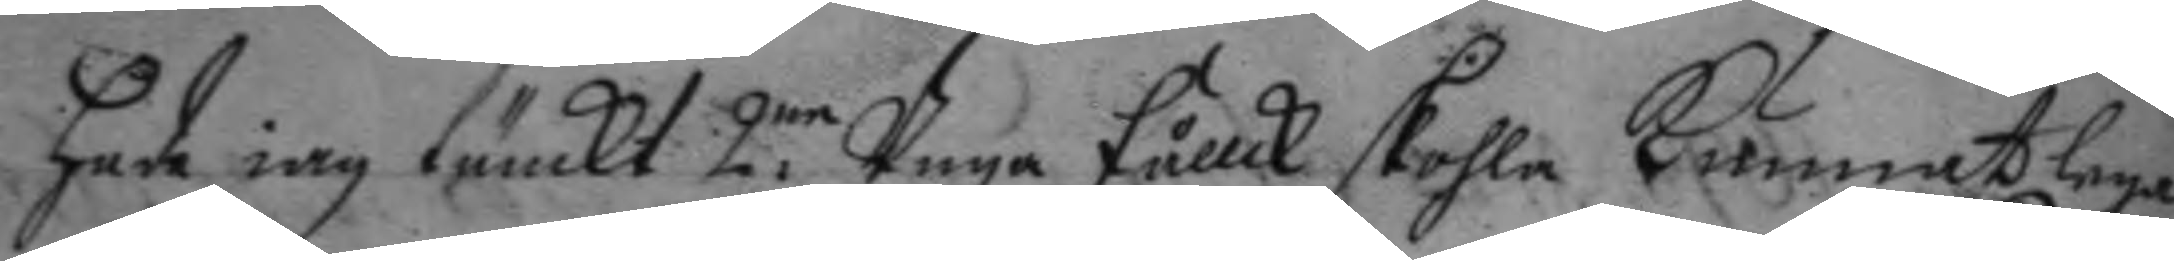hade iag tänckt 2.ne Unga fållck skohla kunnat lega
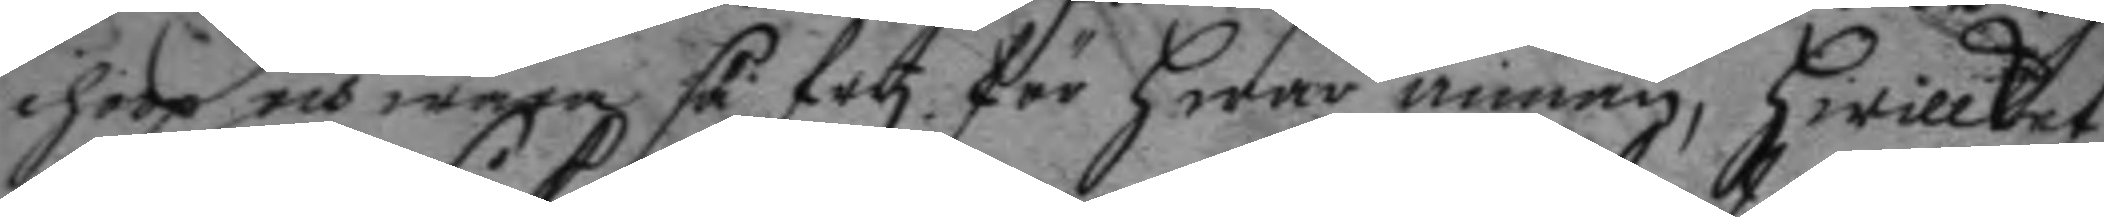ihoop wara så fry för hwar annan, hwilket
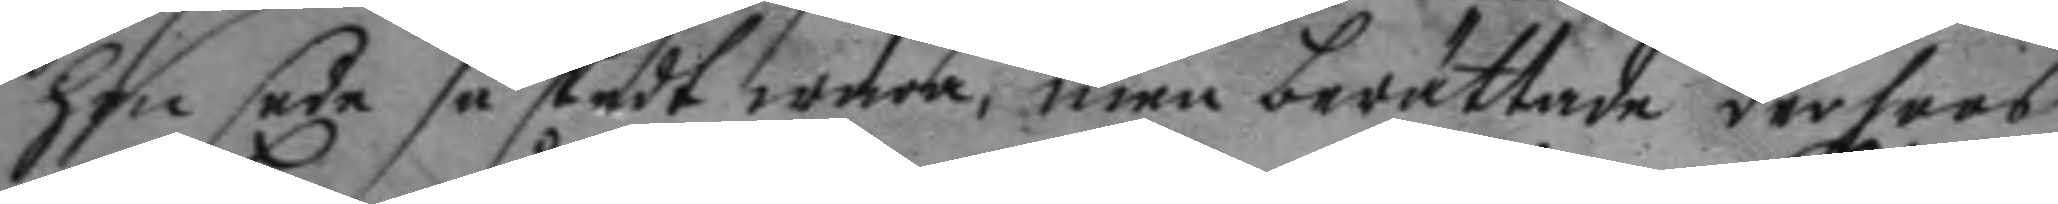hon sade så skedt wara, men berättade derhoos
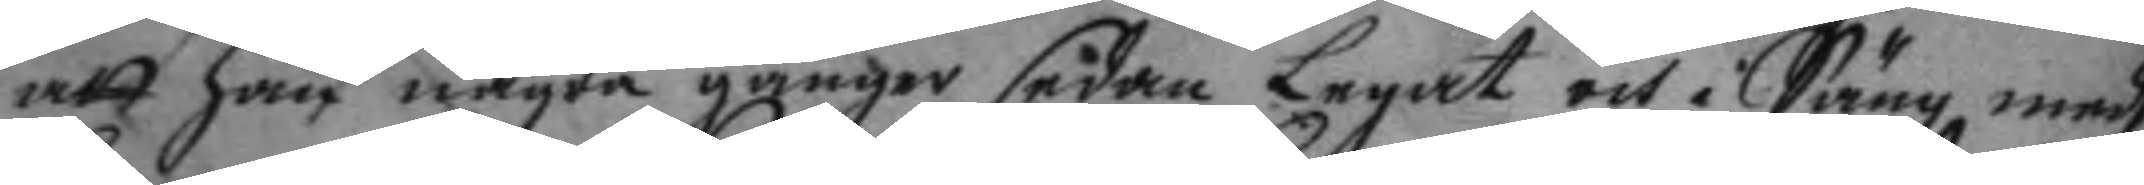att han några gånger sådan Legat och i Säng medh
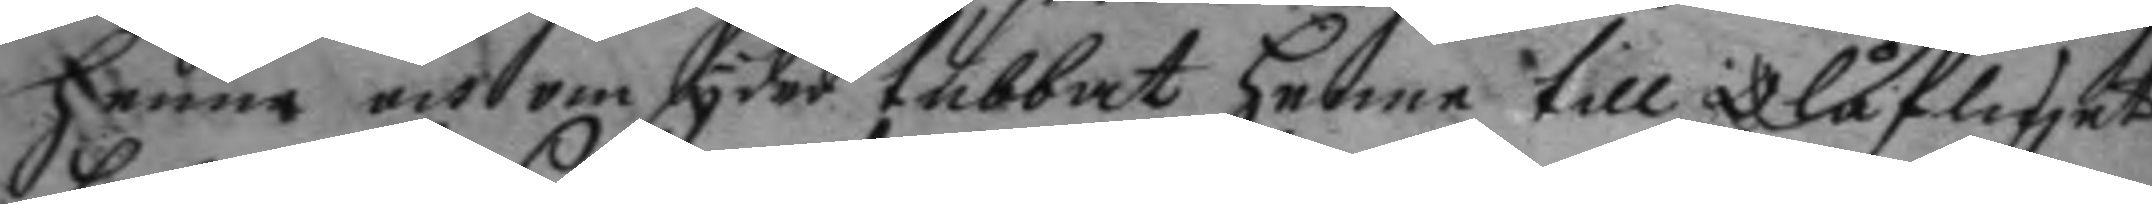henne och om syder tubbat hennen till Olåfliget
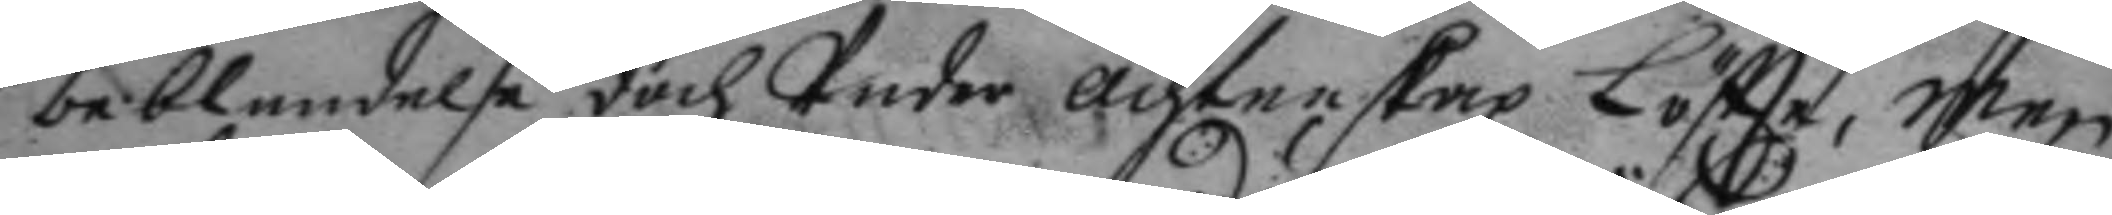beblandelse doch Under ächtenskapz Löftte, men
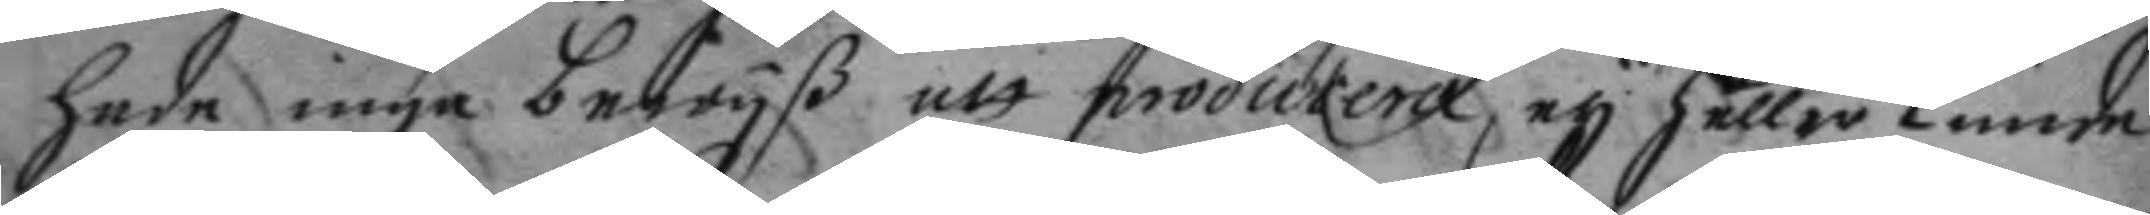hade inga bewyß att producera, ey heller kunde
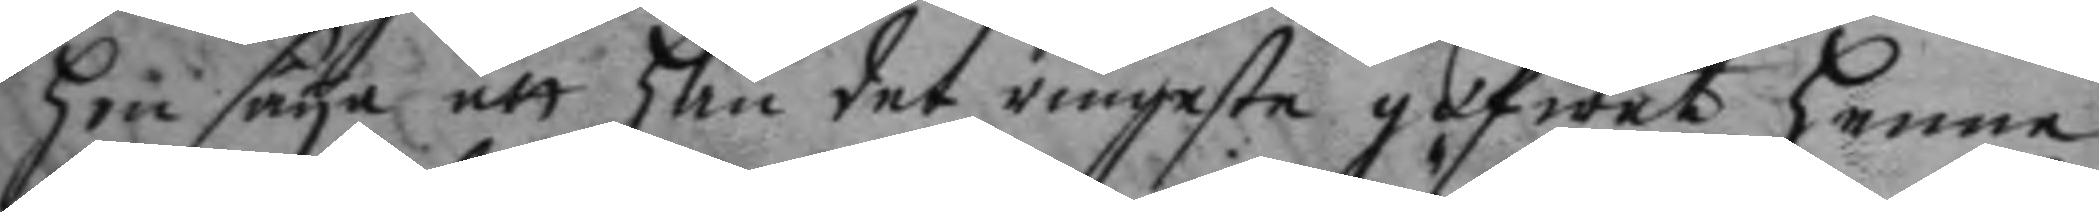hon seya att han det ringaste gifwet henne
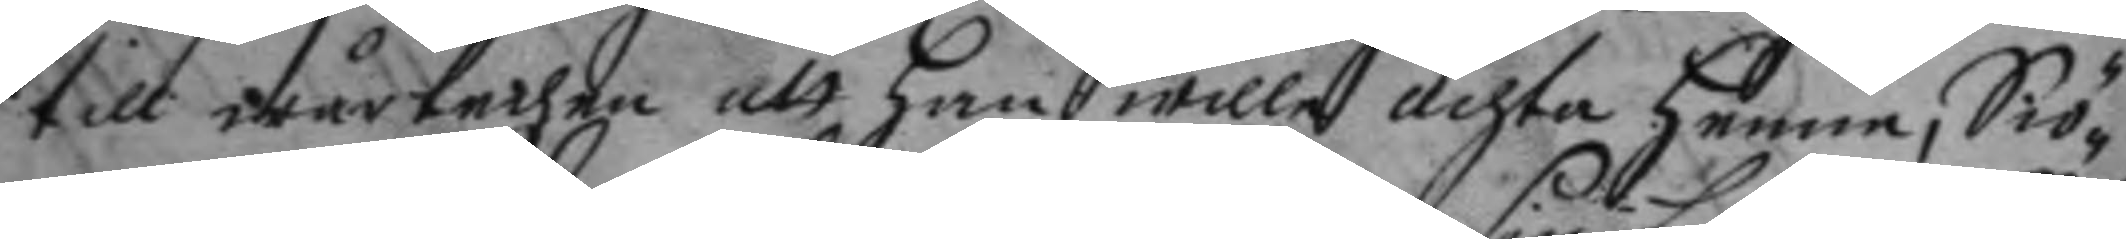till wårtechen att han wille ächta henne, Siö¬ 
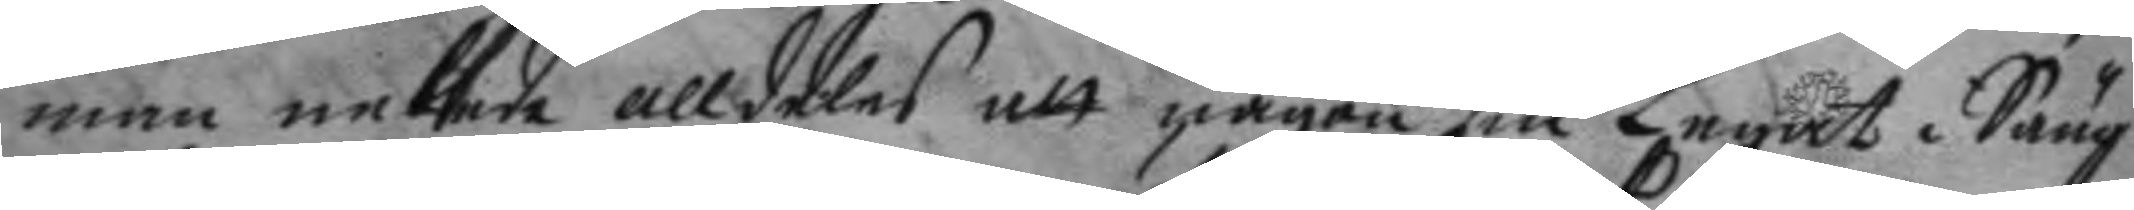man nekede alldeles att någon sin Legat i Säng
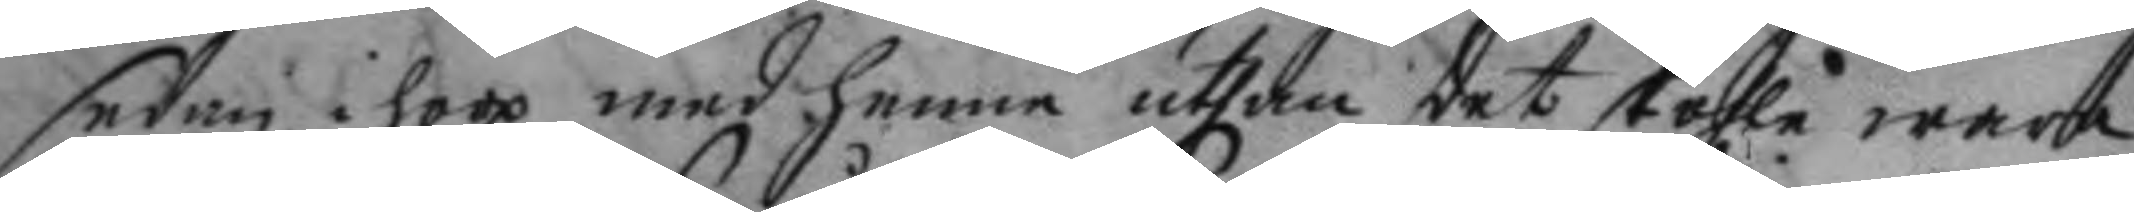sedan i hoop med henne uthan det skohla wara
